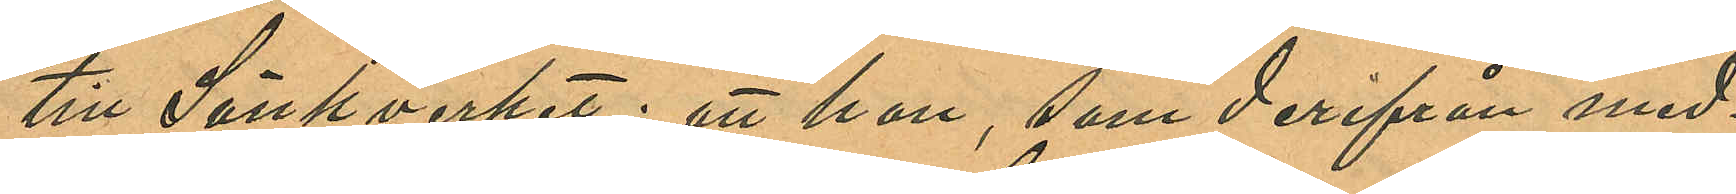till Sänkverket; att hon, som derifrån med¬
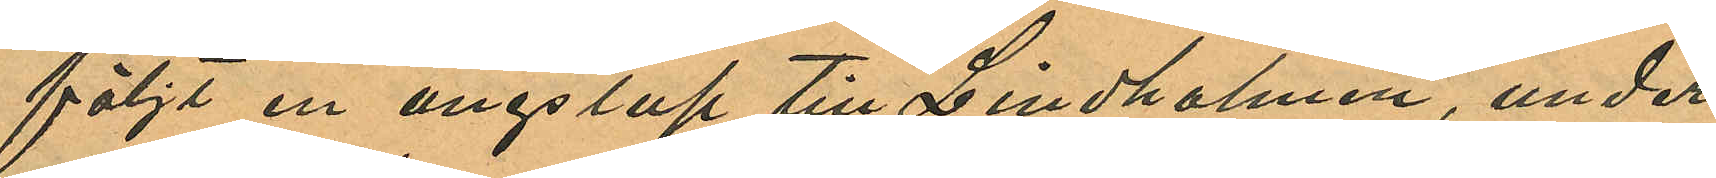följt en ångslup till Lindholmen, under
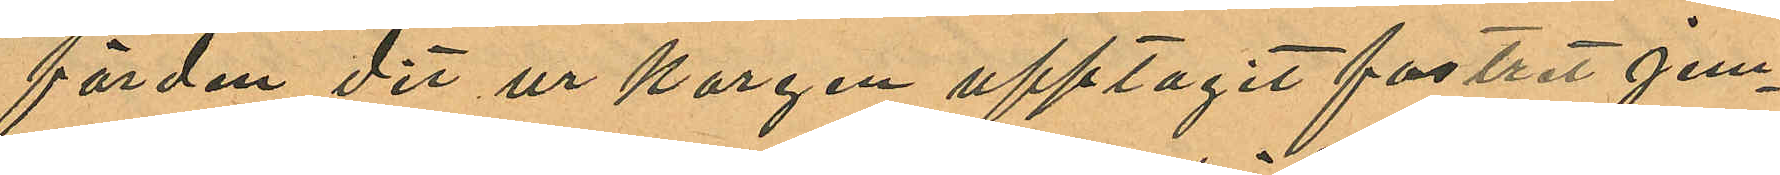färden dit ur korgen upptagit fostret jem¬
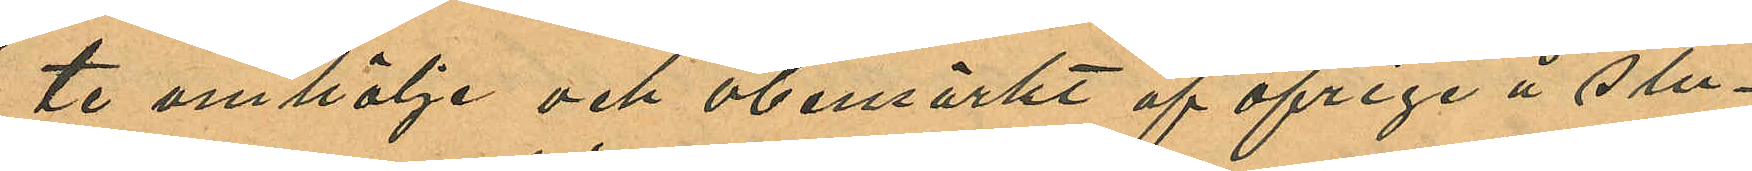te omhölje och obemärkt af öfriga å slu¬
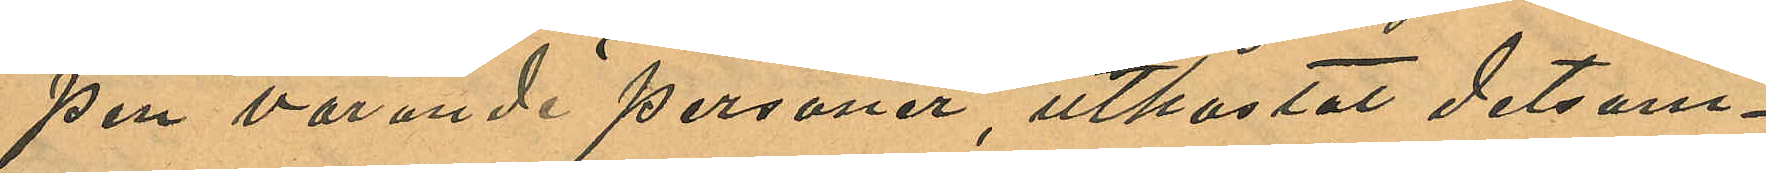pin varande personer, utkastat detsam¬
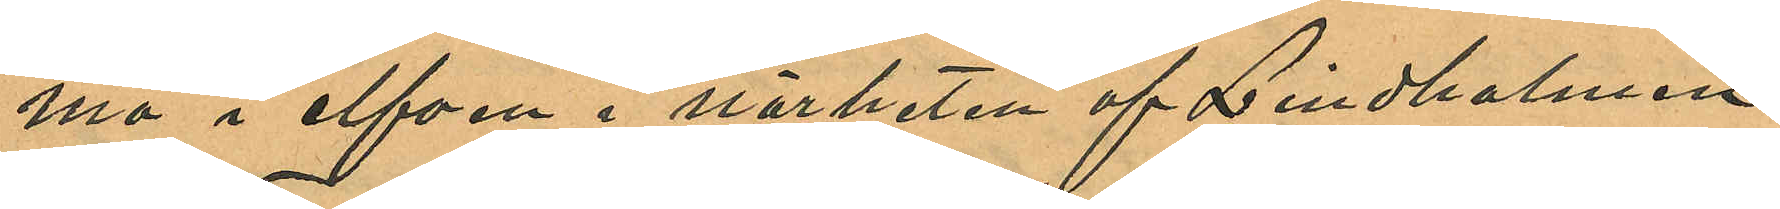ma i elfven i närheten af Lindholmen
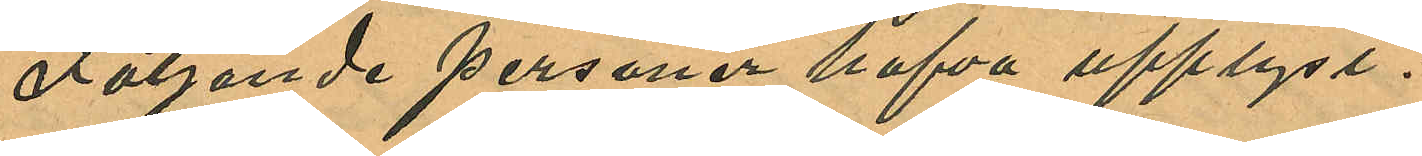Följande personer hafva upplyst:
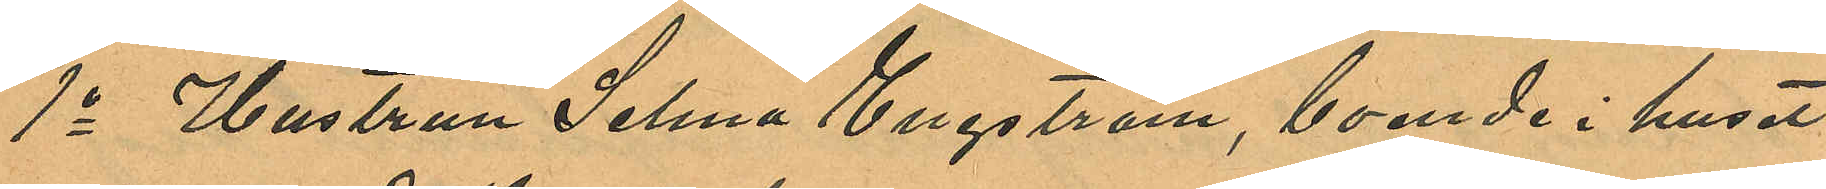1o Hustrun Selma Engström, boende i huset
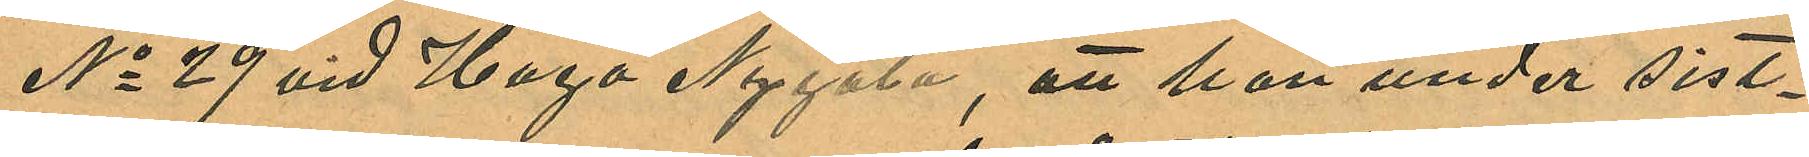No 29 vid Haga Nygata, att hon under sist¬
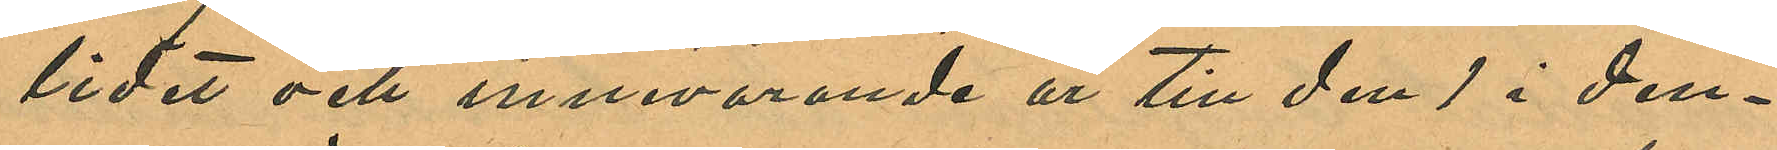lidet och innevarande år till den 1 i den¬
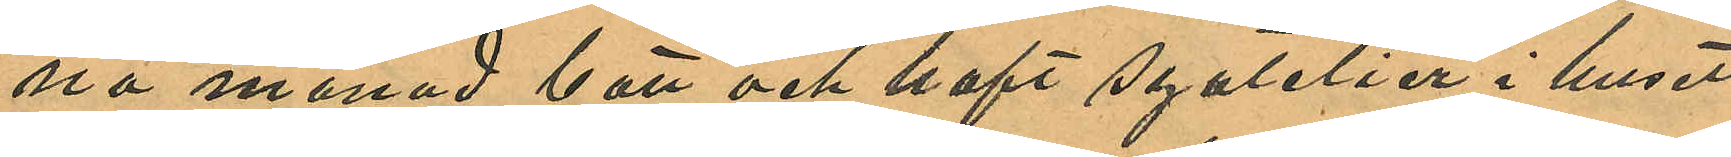na månad bott och haft syatelier i huset
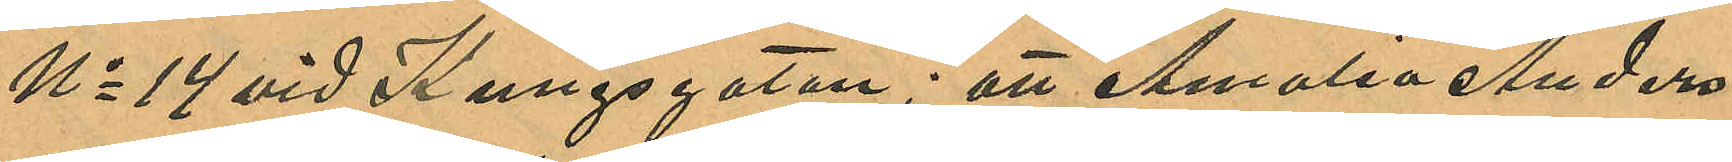No 14 vid Kungsgatan; att Amalia Anders¬
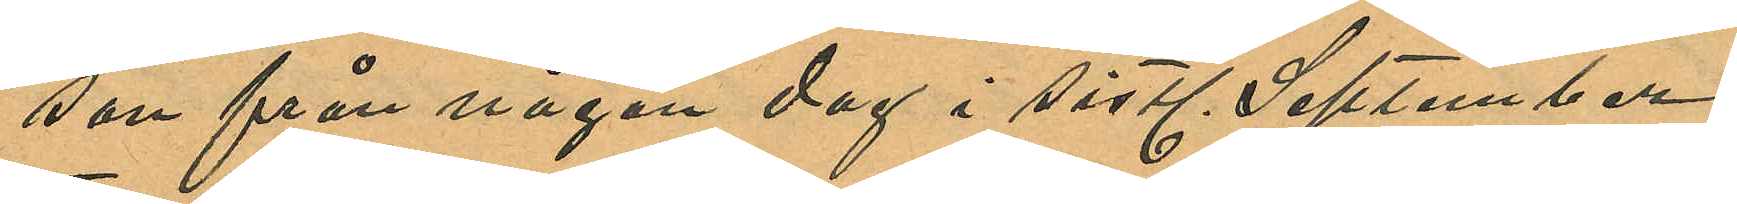son från någon dag i sistl. September
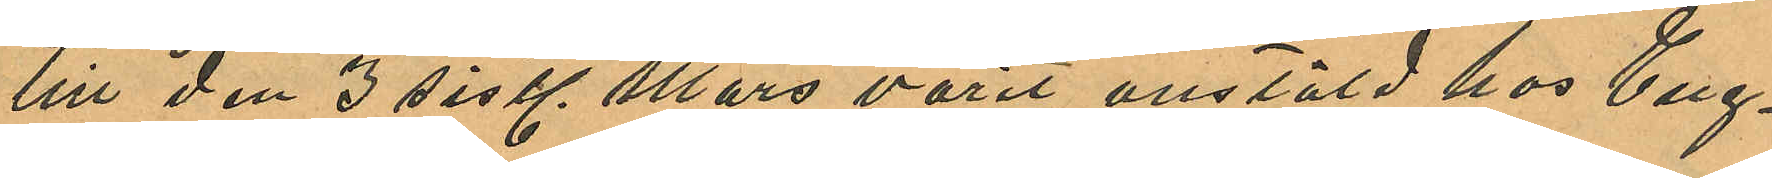till den 3 sistl. Mars varit anstäld hos Eng¬
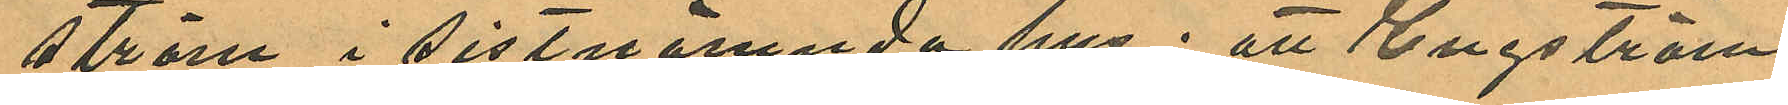ström i sistnämnda hus; att Engström
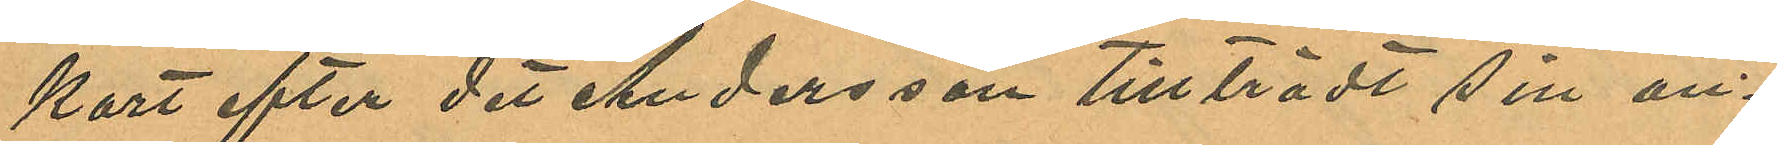kort efter det Andersson tillträdt sin an¬
